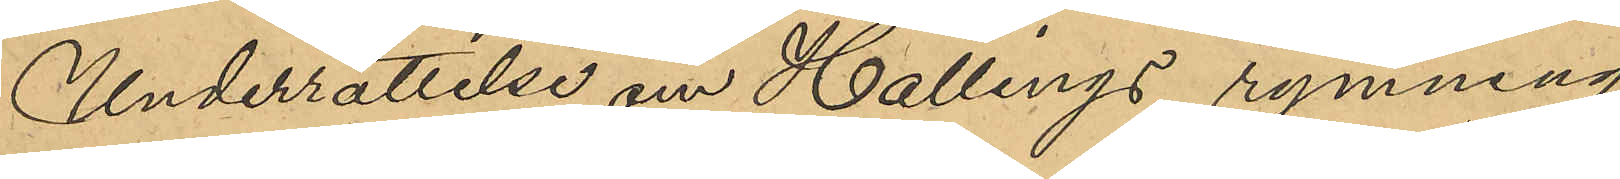Underrättelse om Hallings rymning
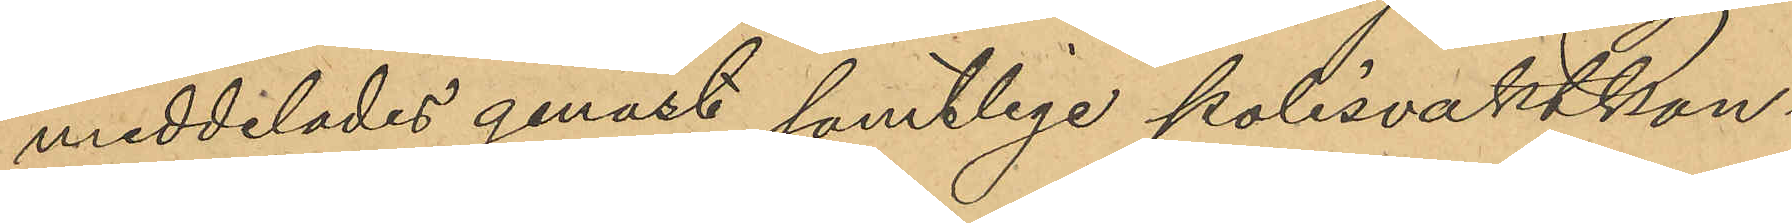meddelades genast samtlige polisvaktkon¬
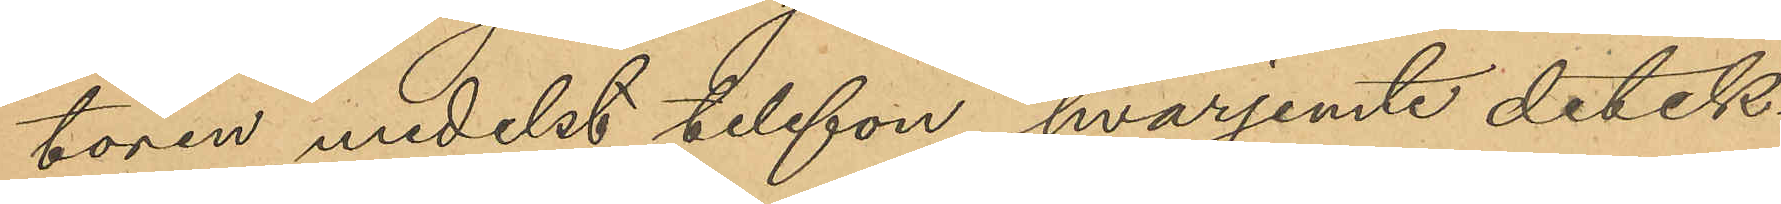toren medelst telefon, hvarjemte detek¬
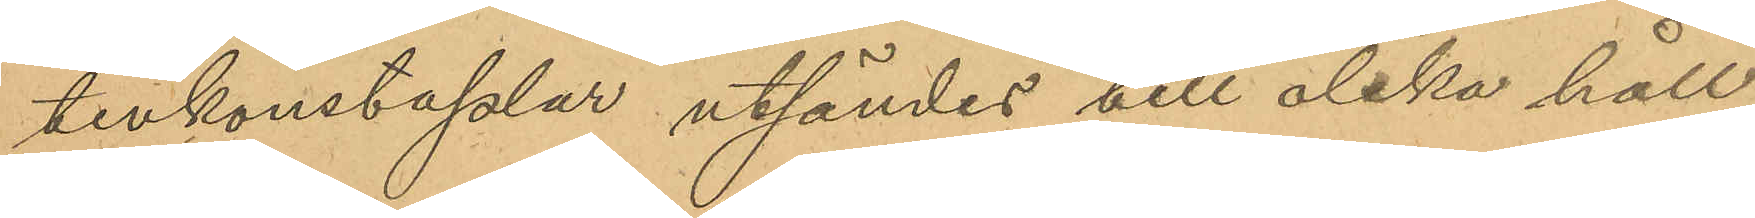tivkonstaplar utsändes till olika håll
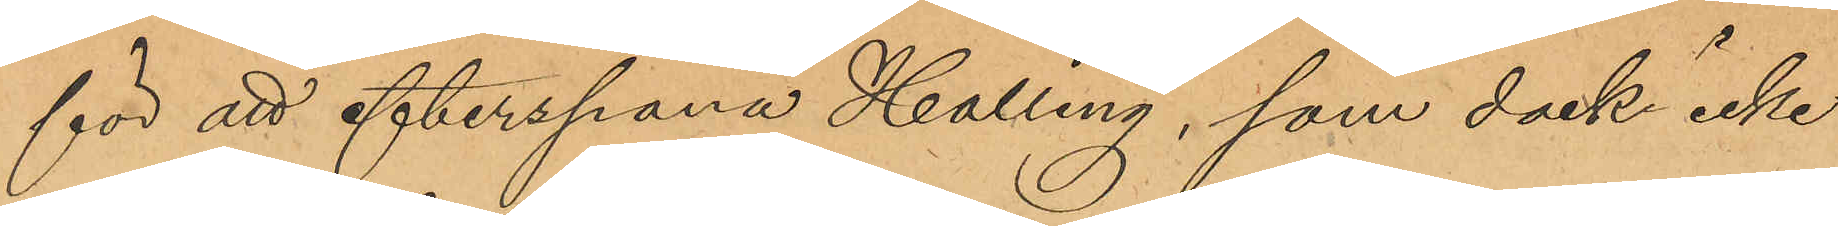för att efterspana Halling, som dock icke
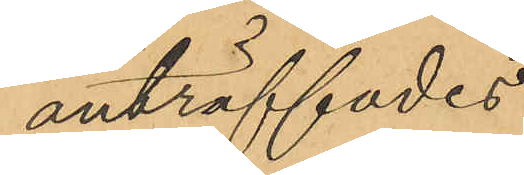anträffades.
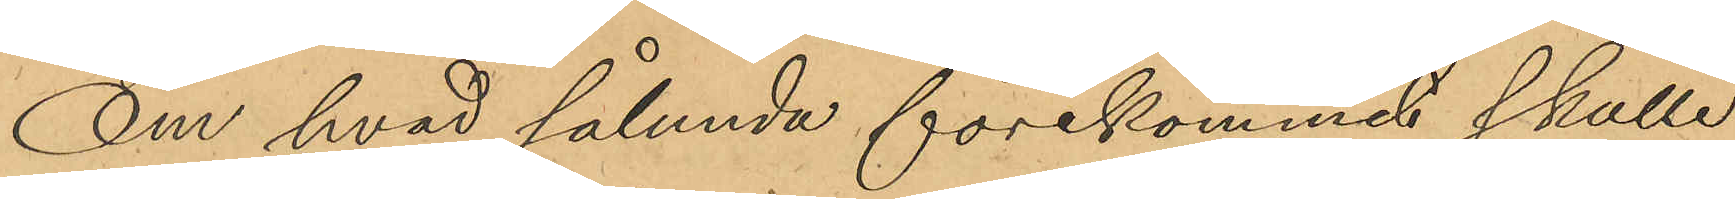Om hvad sålunda förekommit skulle
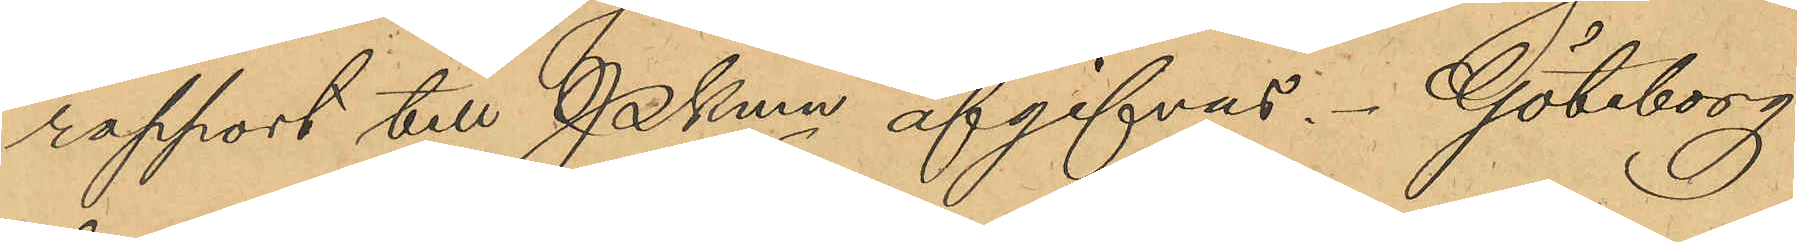rapport till Pkmn afgivas. Göteborg
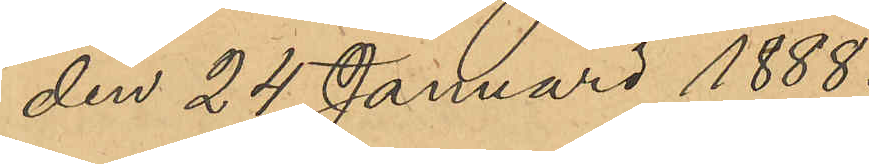den 24 Januari 1888.
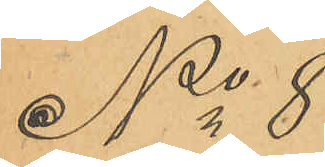No 8
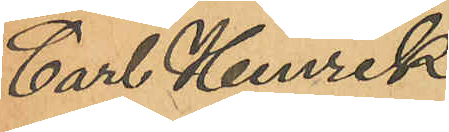Carl Henrik
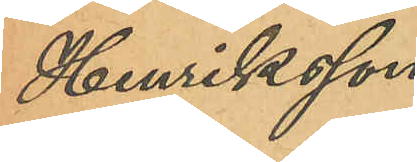Henriksson
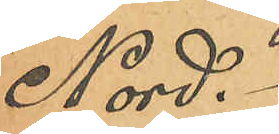Nord.
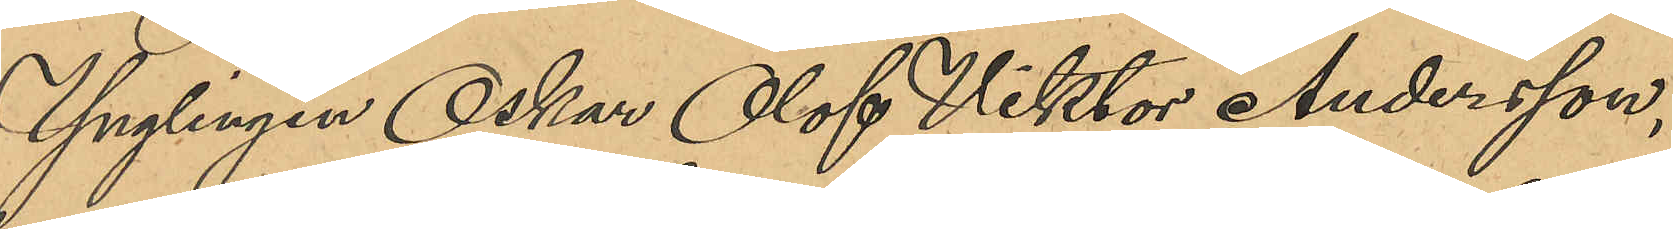Ynglingen Oskar Olof Viktor Andersson,
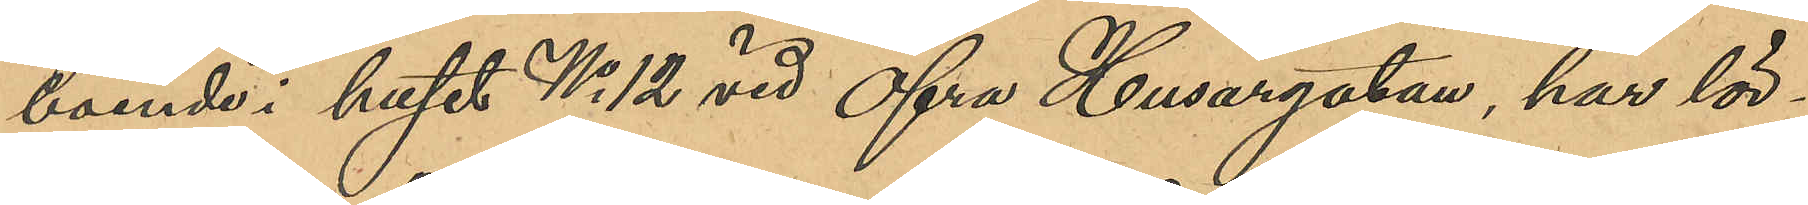boende i huset No 12 vid Öfra Husargatan, har lör¬
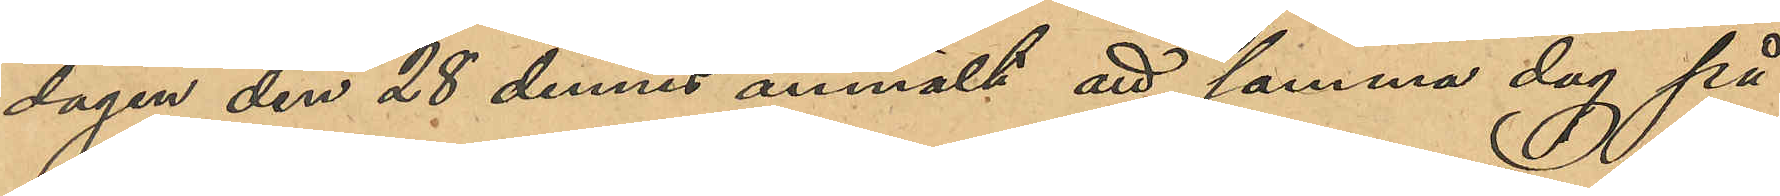dagen den 28 dennes anmält att samma dag på
